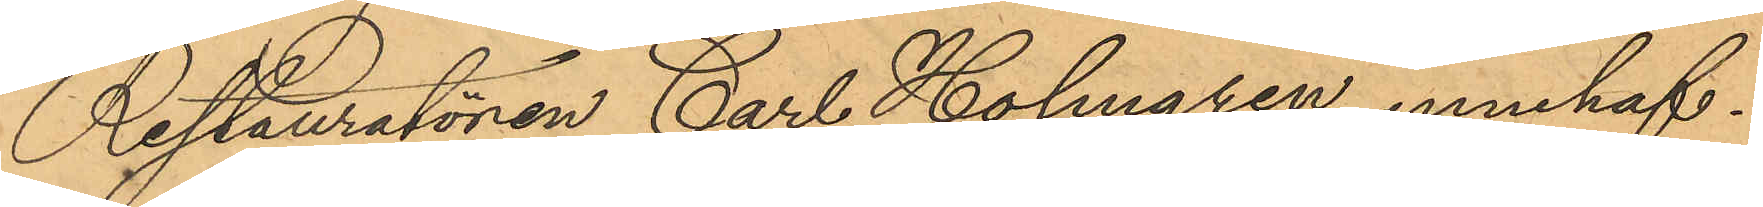Restauratören Carl Holmgren, innehaf¬
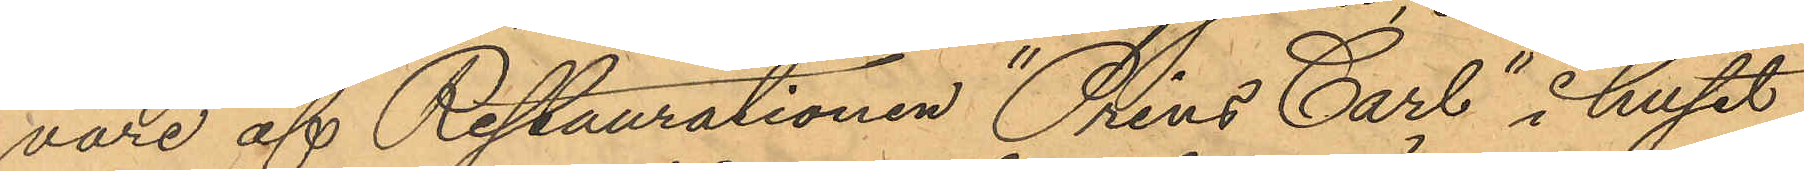vare af Restaurationen "Prins Carl", i huset
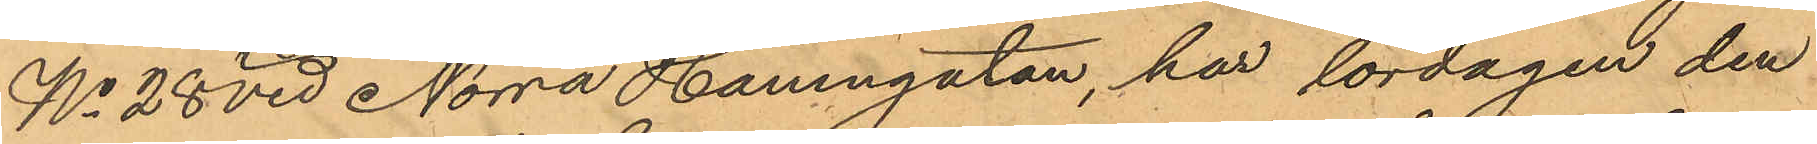No 28 vid Norra Hamngatan, har lördagen den
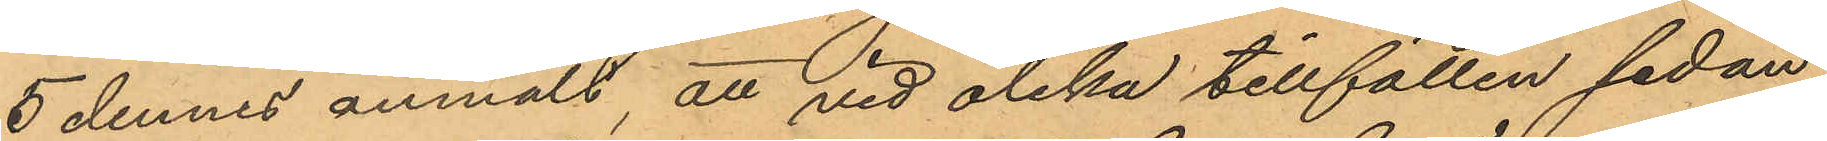5 dennes anmält, att vid olika tillfällen sedan
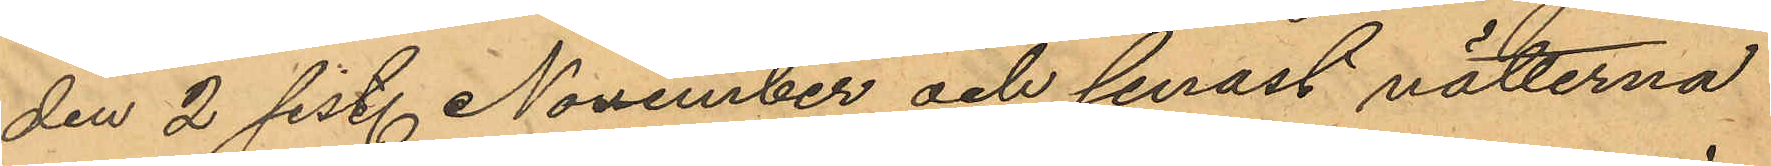den 2 sist. November och senast nätterna
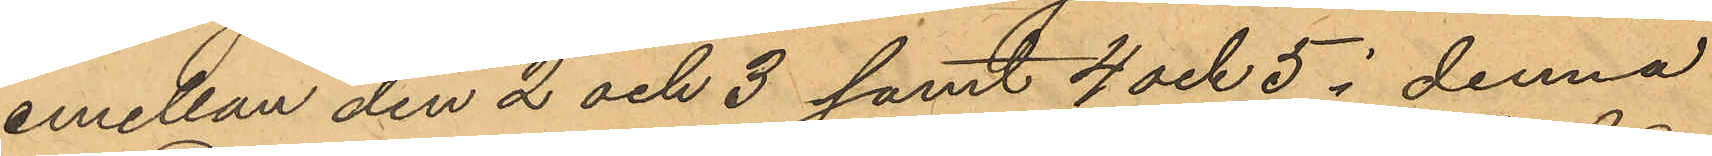emellan den 2 och 3 samt 4 och 5 i denna
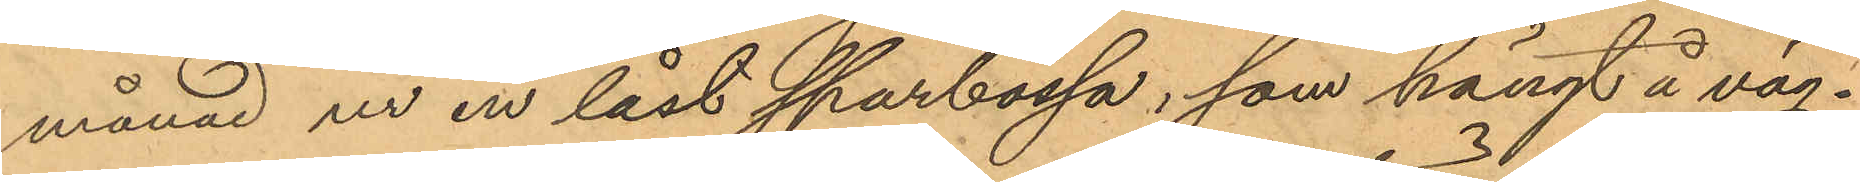månad ur en låst sparbössa, som hängt å väg¬
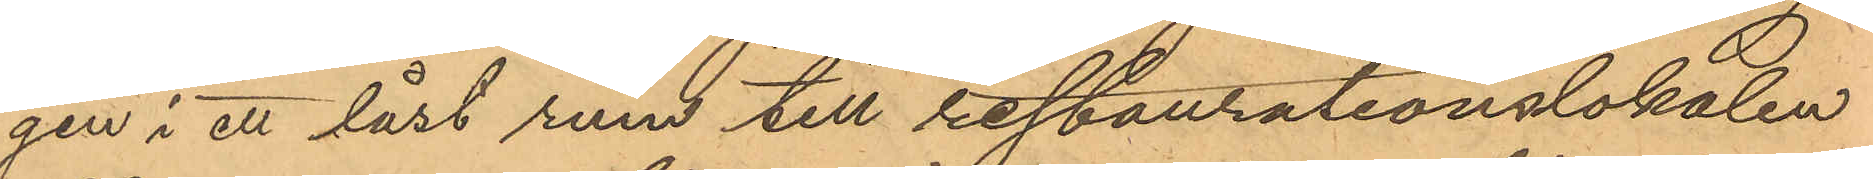gen i ett låst rum till restaurationslokalen
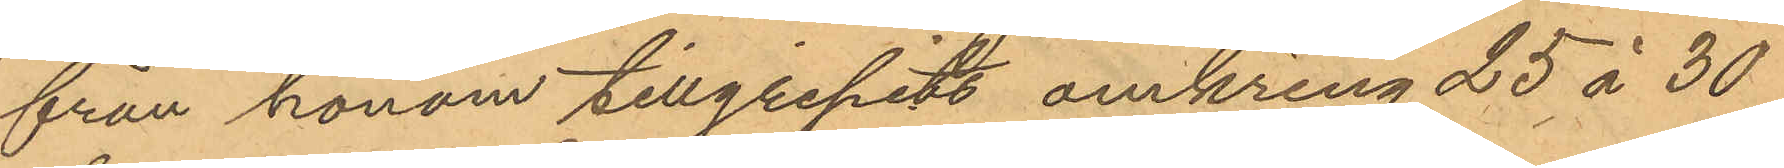från honom tillgripits omkring 25 à 30
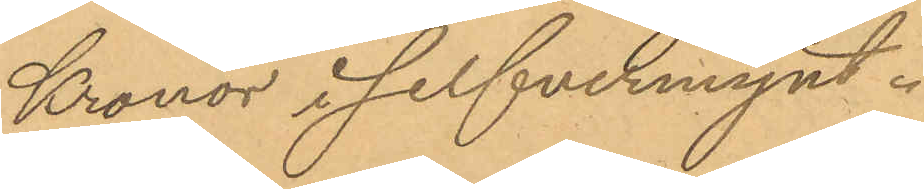Kronor i silfvermynt.
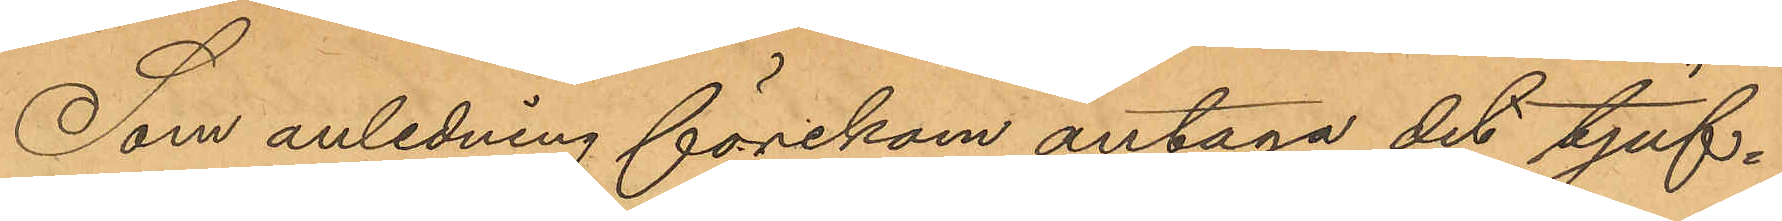Som anledning förekom antaga det tjuf¬
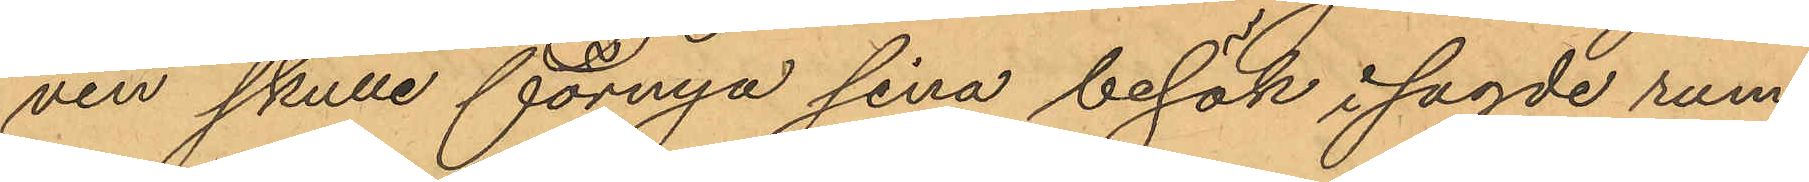ven skulle förnya sina besök i sagde rum,
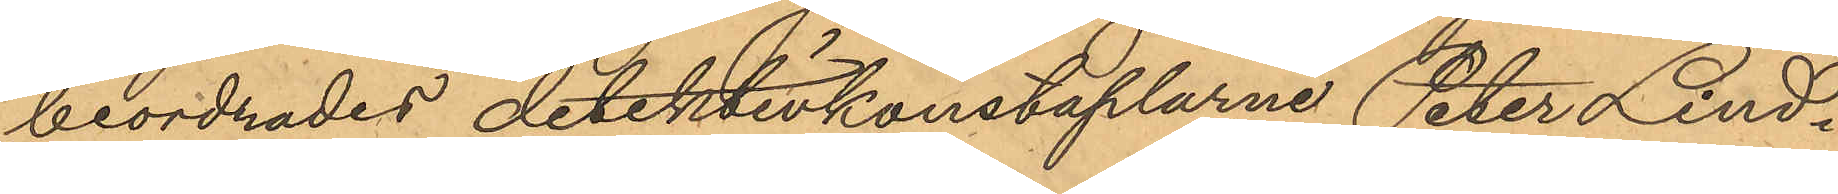beordrades detektivkonstaplarne Peter Lind¬
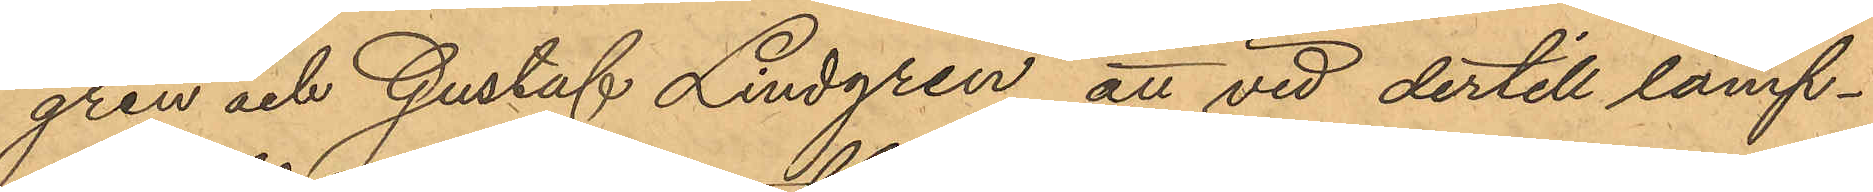gren och Gustaf Lindgren att vid dertill lämp¬
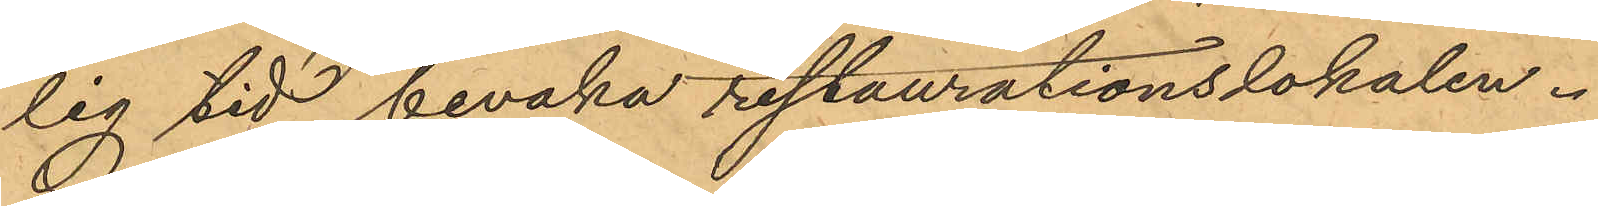lig tid bevaka restaurationslokalen.
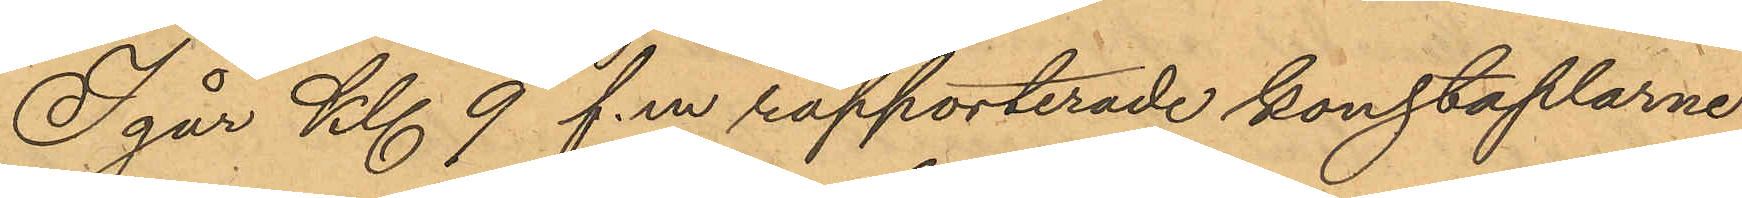I går Kl. 9 f.m rapporterade konstaplarne
